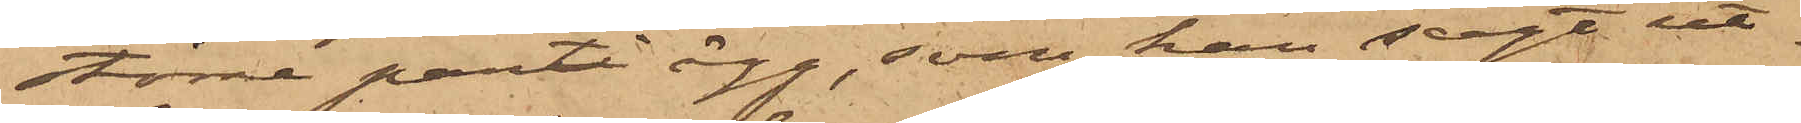större parti ägg, som han sagt ut¬
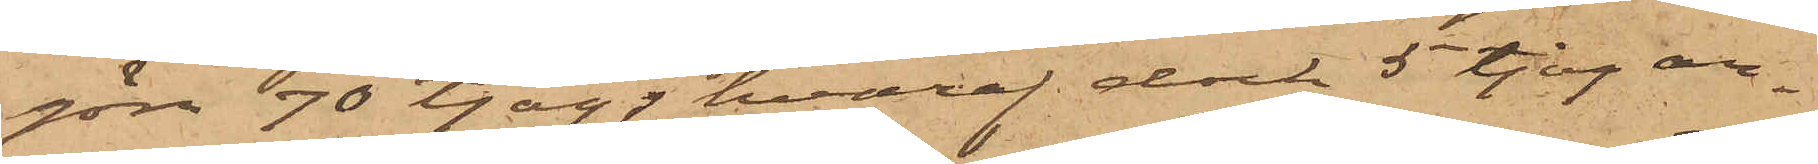göra 90 tjog, hvaraf dock 5 tjog an¬
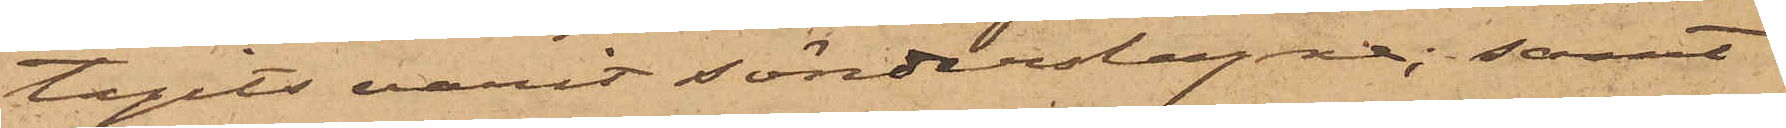tagits varit sönderslagna; samt
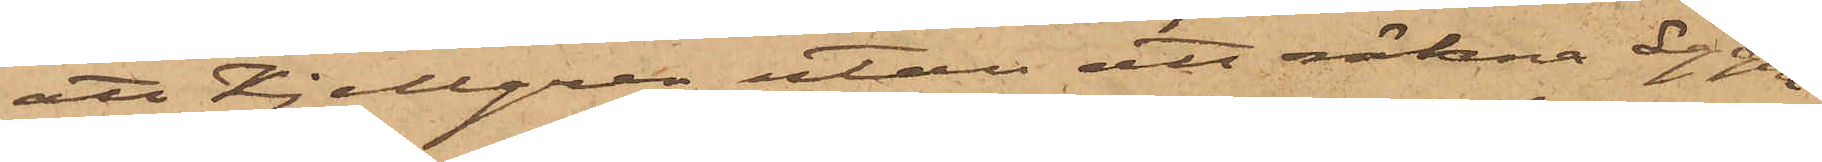att Kjellgren utan att räkna äggen
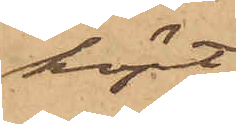köpt
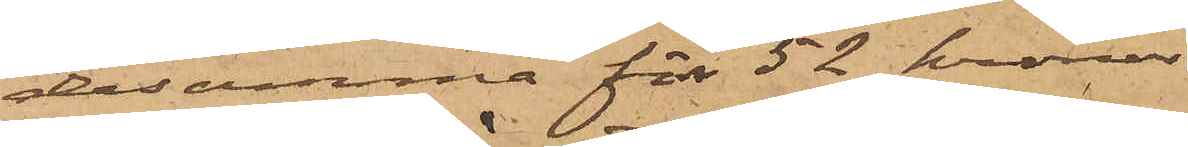desamma för 52 kronor
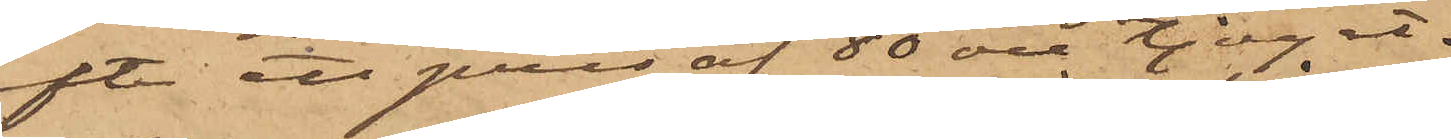efter ett pris af 80 öre tjoget.
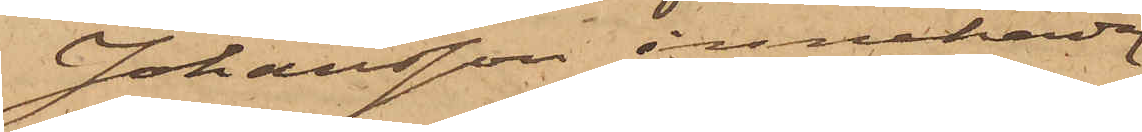Johansson innehade
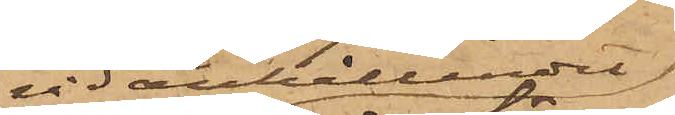vid anhållandet;
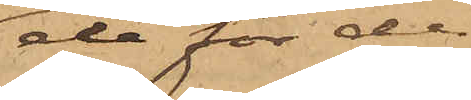de för de
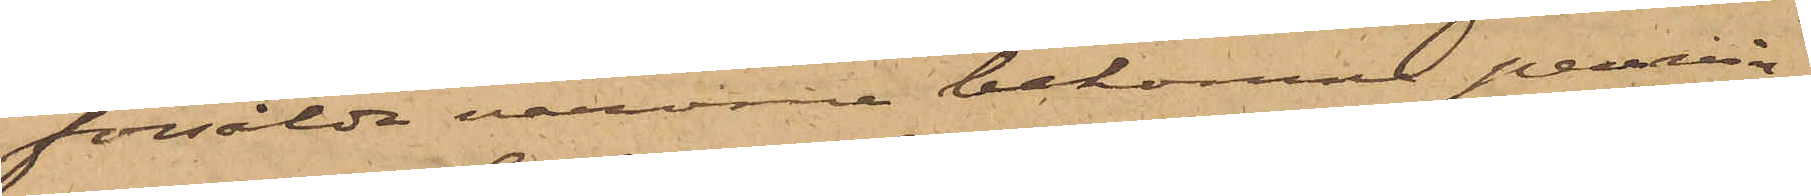försålda varorna bekomne pennin¬
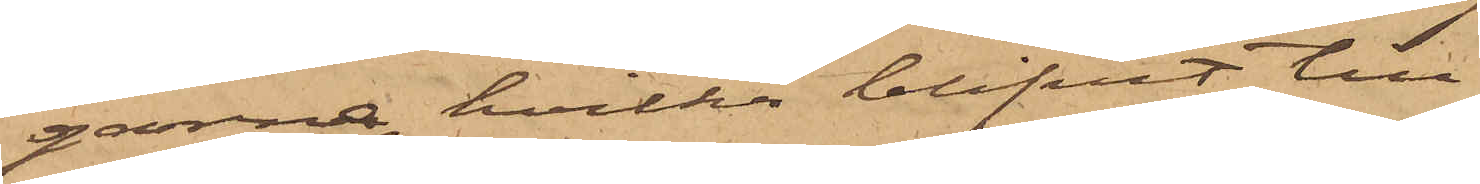garne, hvilka blifvit till
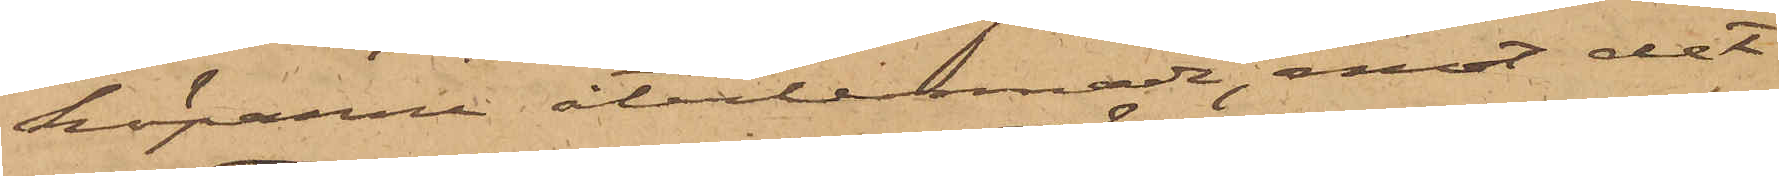köparna återlemnade, emot det
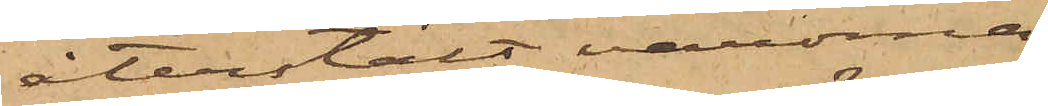återstält varorna
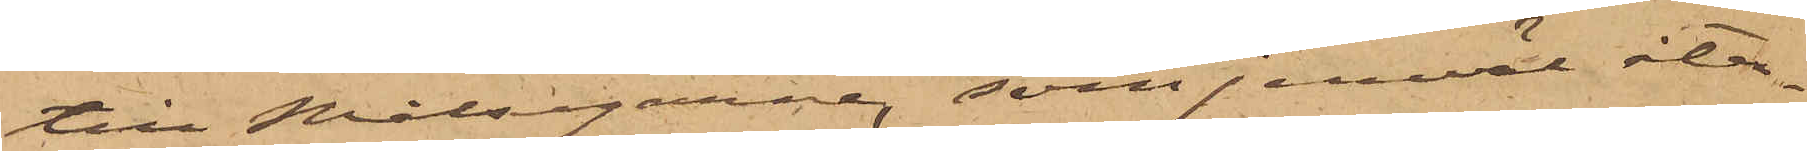till Målsegarne, som jemväl åter¬
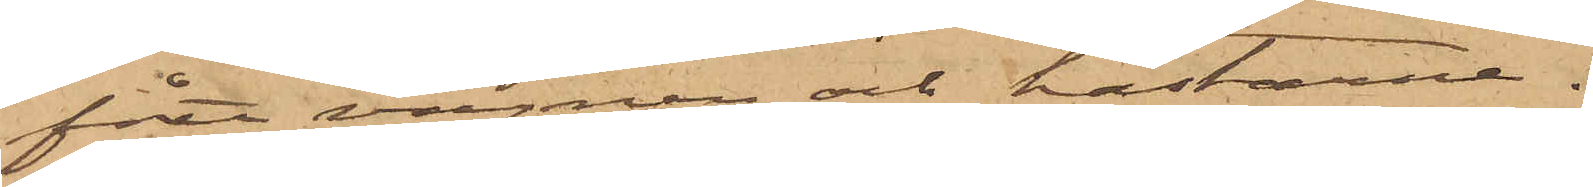fått vagnen och hästarna.
